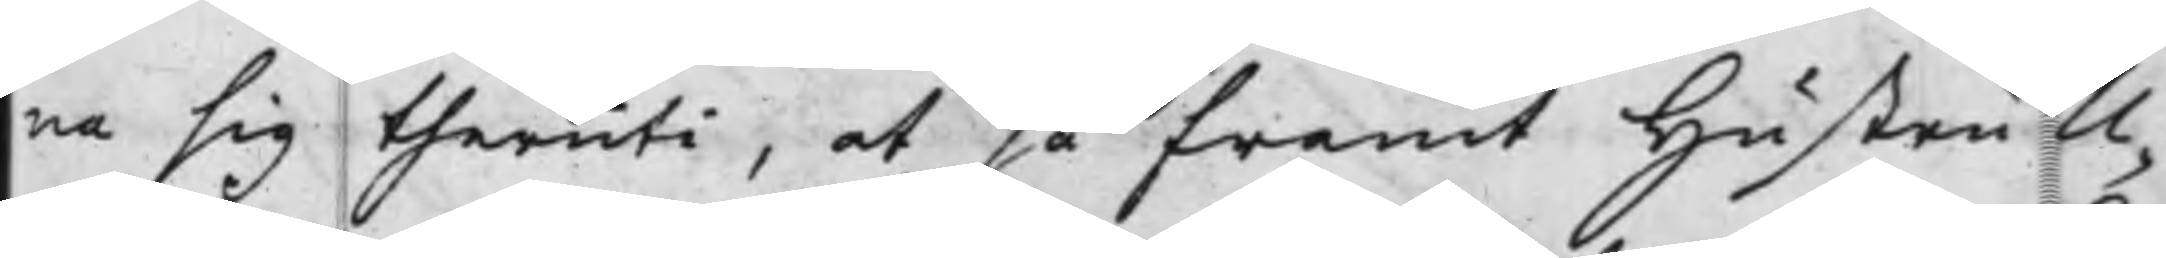na sig theruti, at så framt Hustru U¬
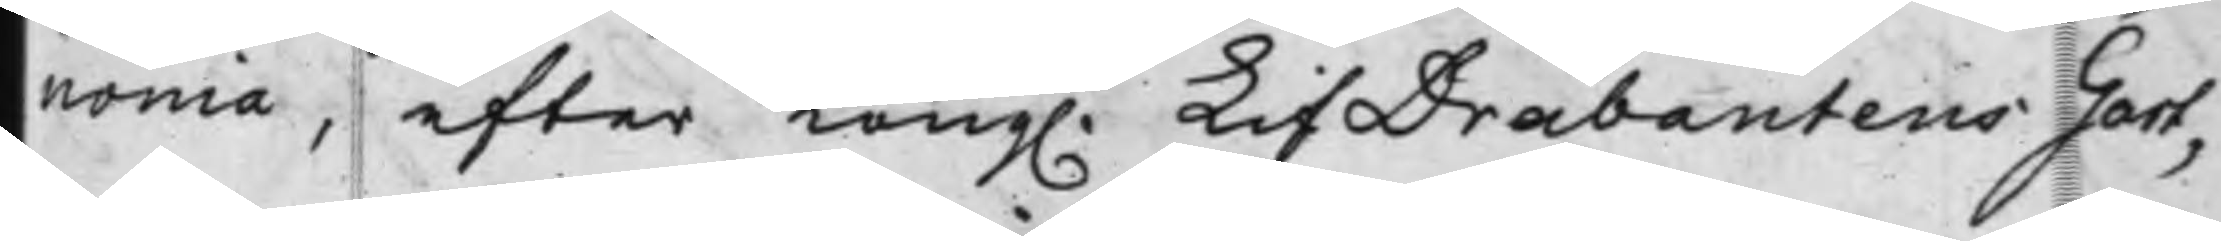nonia, efter Kong. LifDrabantens Gart¬
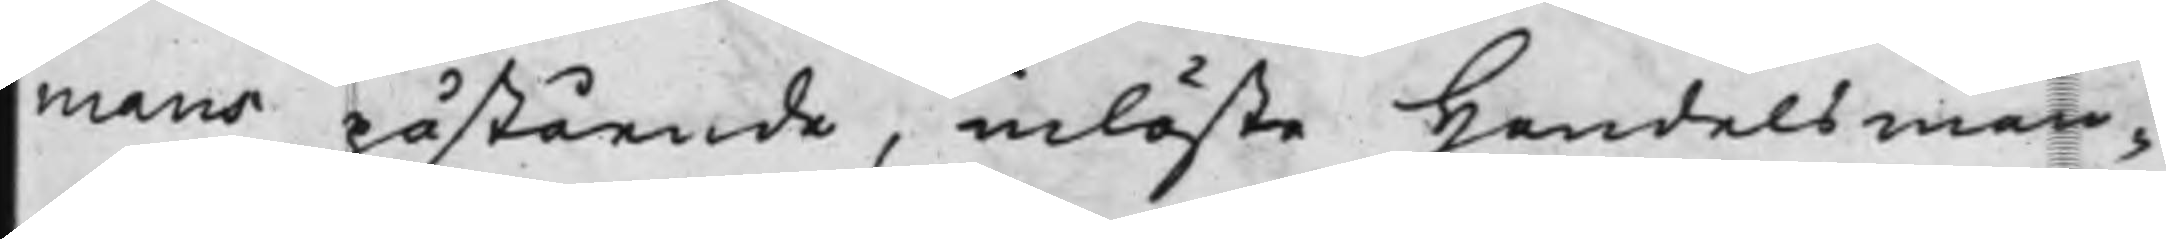mans påstående, inlöste Handelsman¬
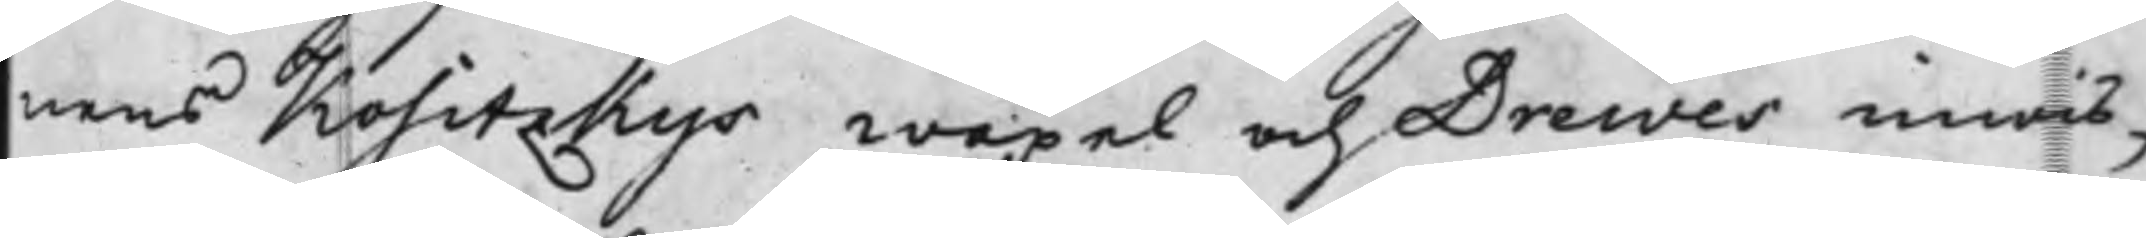nens Kositzkys wäxel och Drewes inwis¬
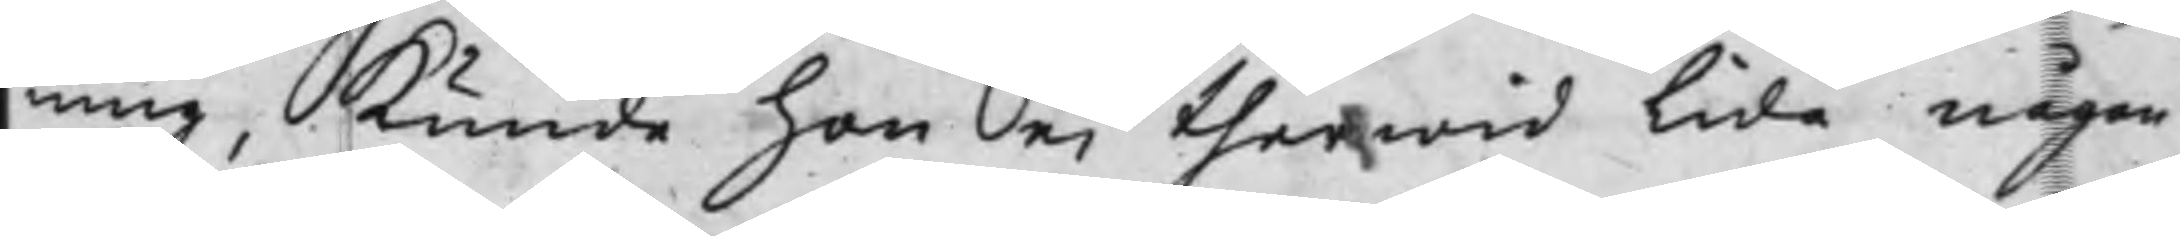ning, kunde hon ei therwid Lida någon
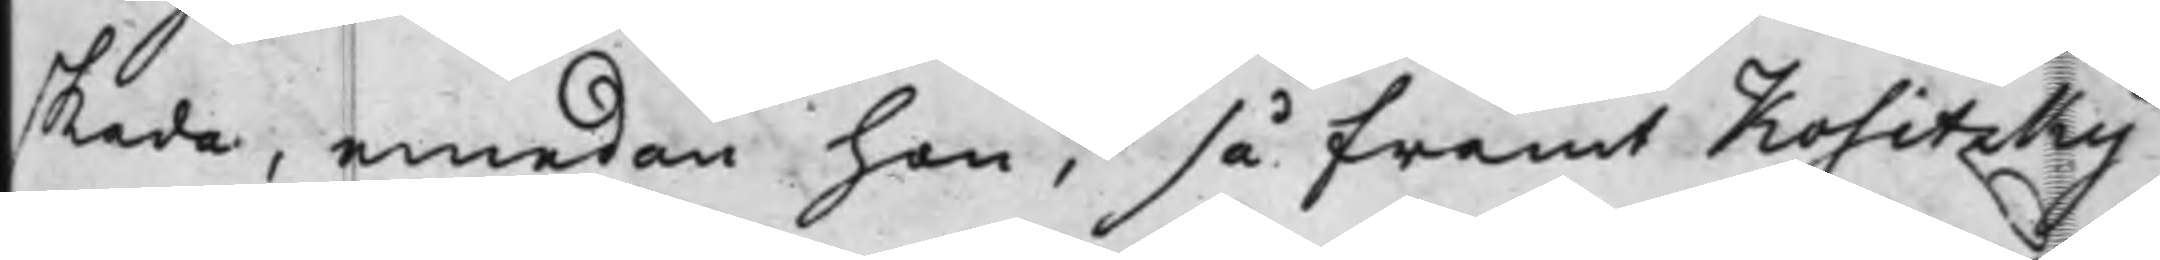skada, emedan han, så framt Kositzky
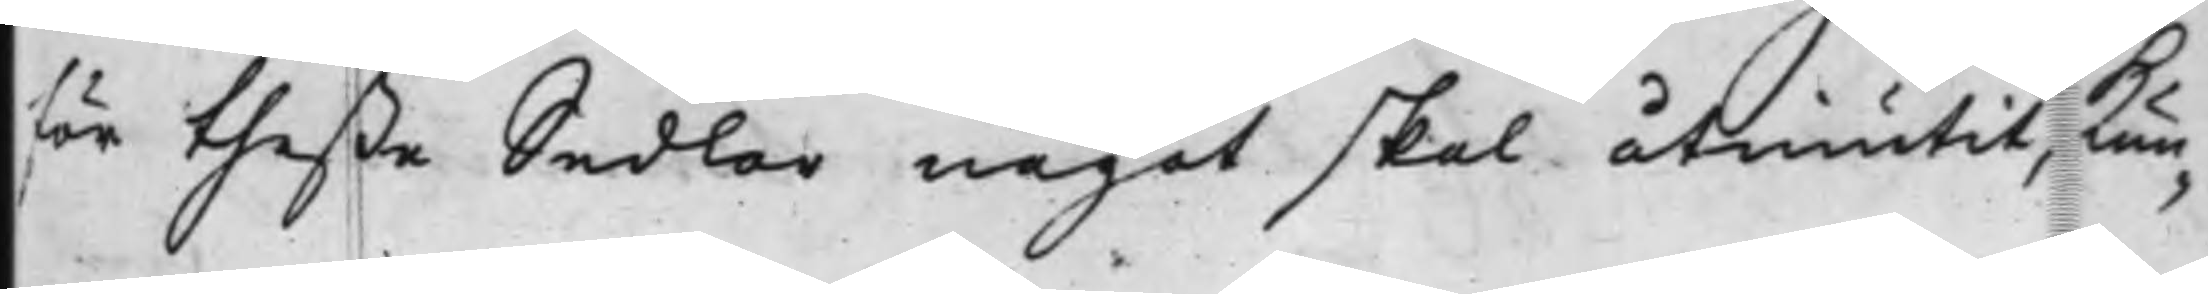för theße Sedlar något skal åtniutit, kun¬
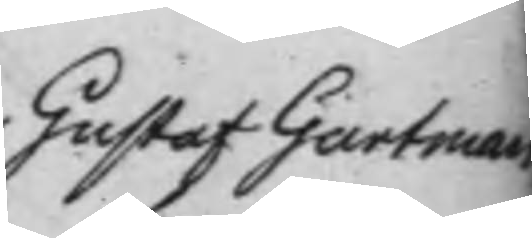Gustaf Gartman
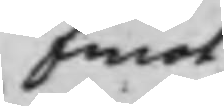Emot
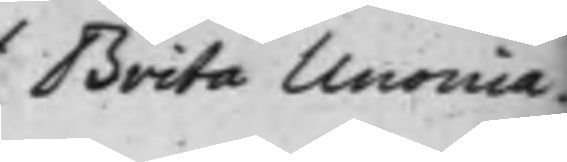Brita Unonia
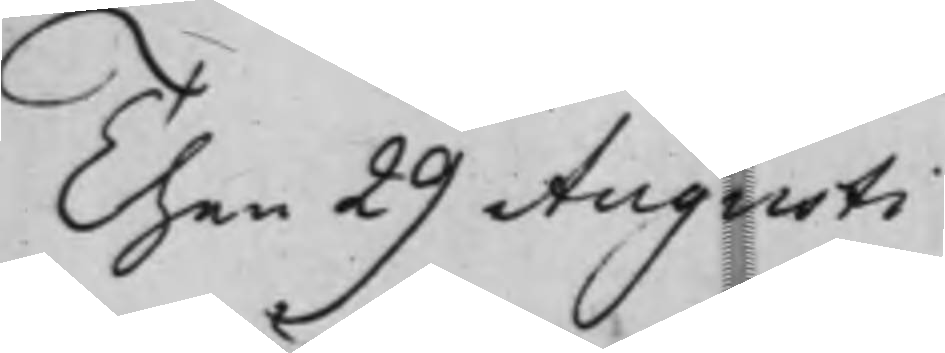Then 29 Augusti
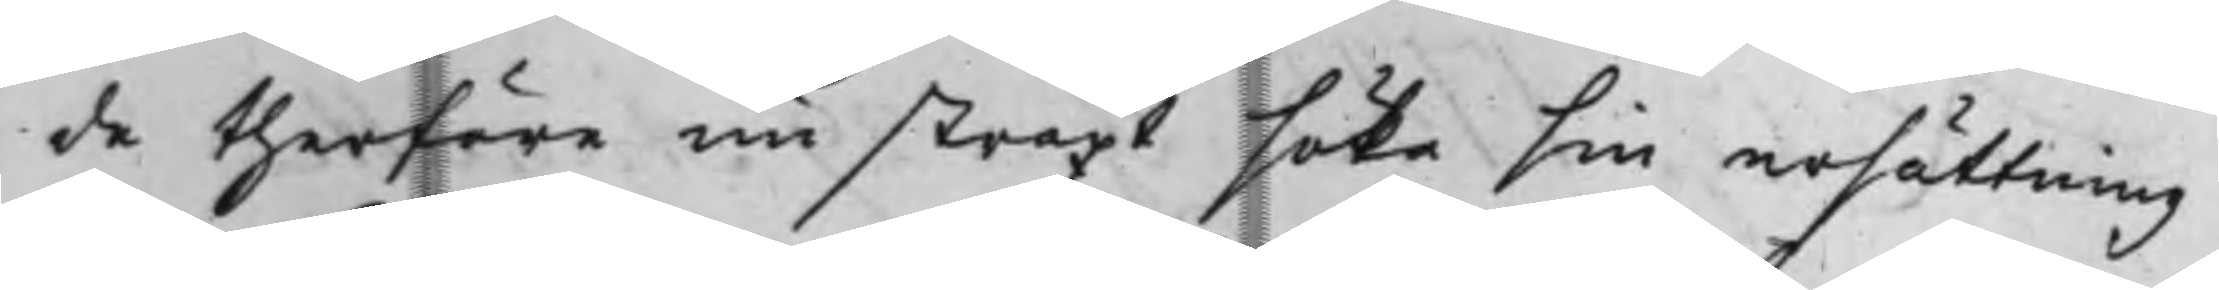de therföre nu straxt söka sin ersättning
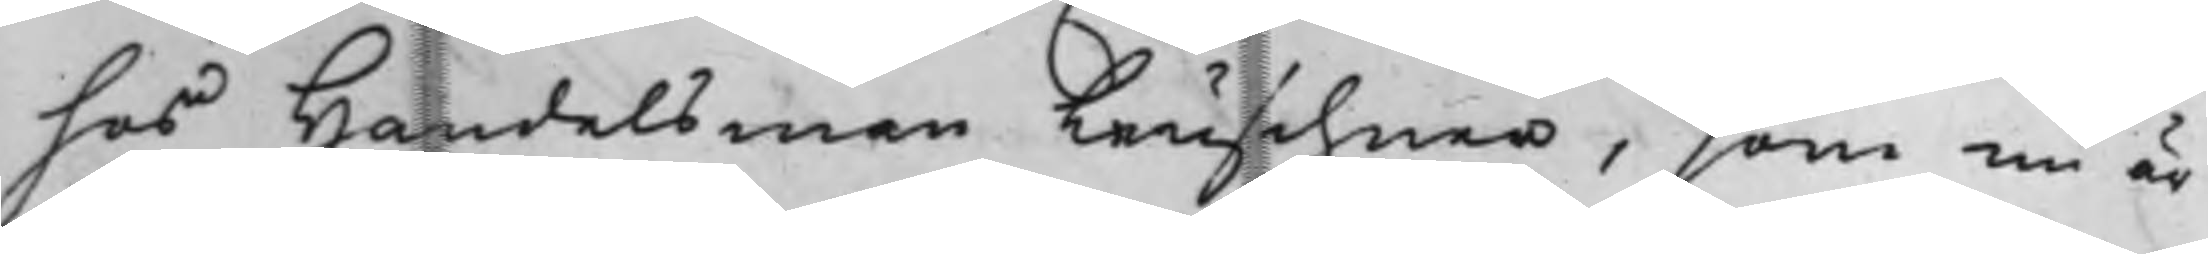hos Handelsman Leuschner, som nu är
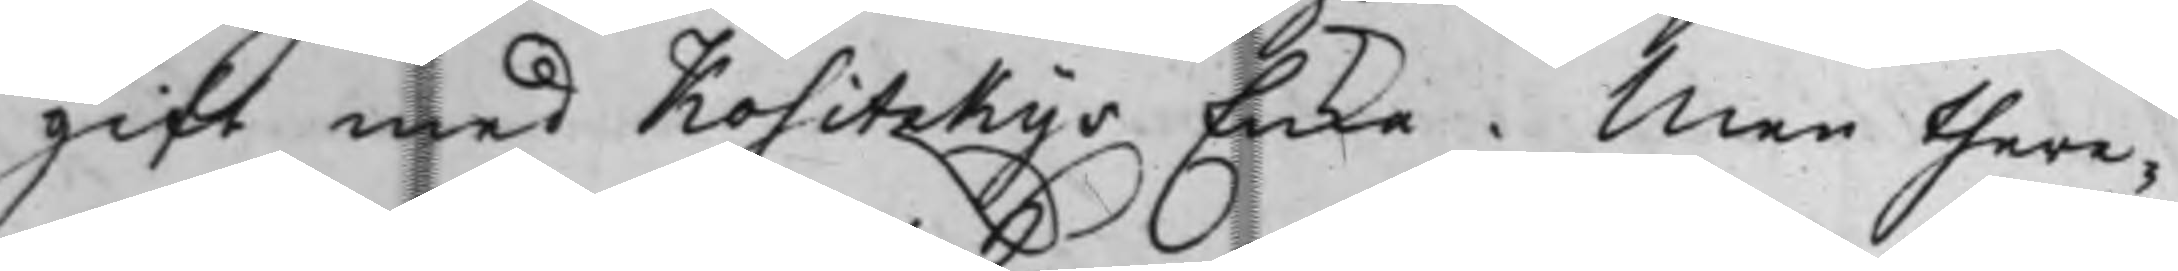gift med Kositzkys Enka. Men there¬
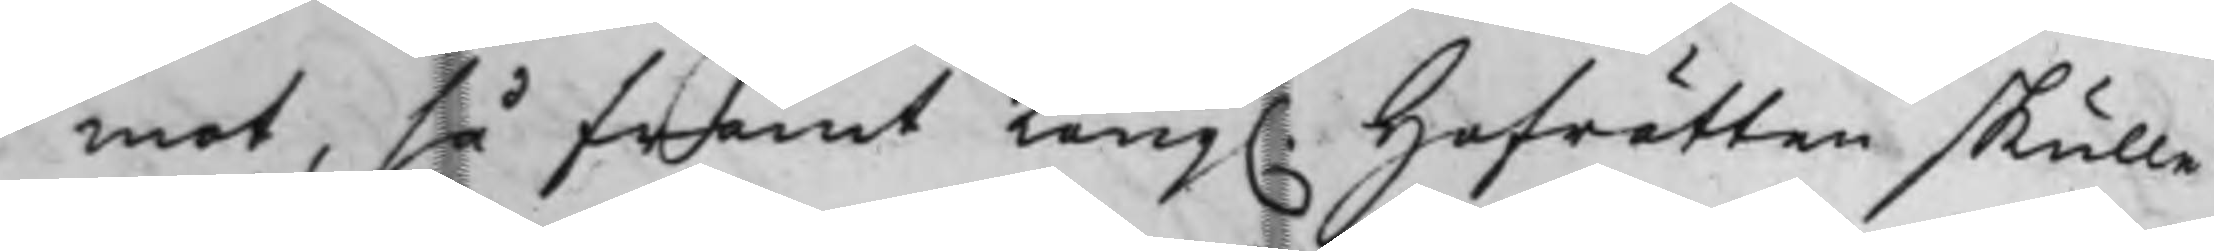mot, så framt Kong. Hofrätten skulle
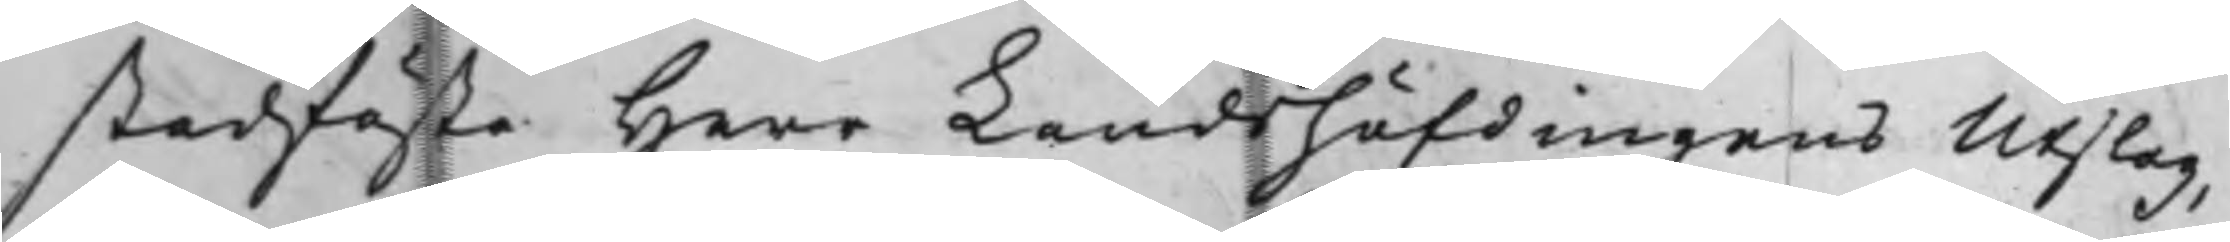stadfästa Herr Landshöfdingens Utslag,
